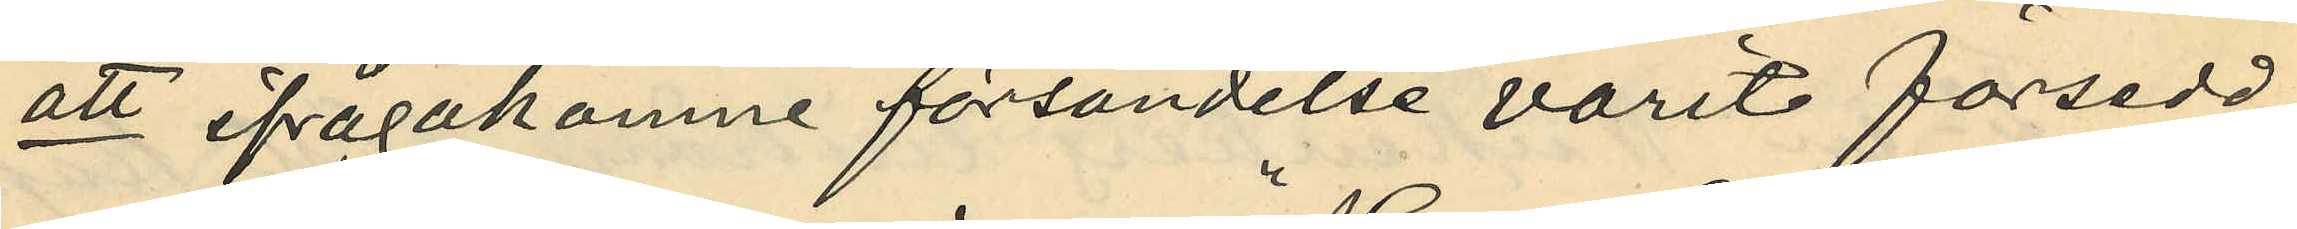att ifrågakomne försändelse varit försedd
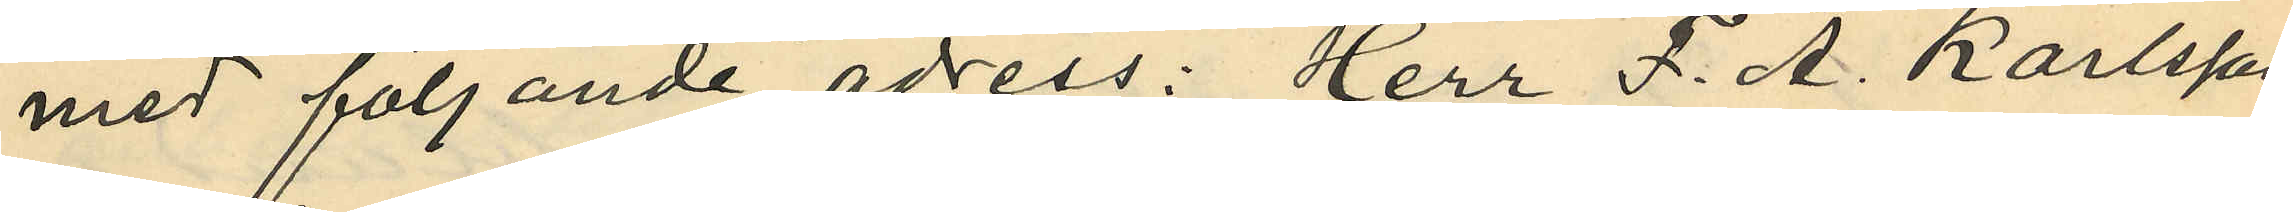med följande adress: "Herr F. A. Karlsson,
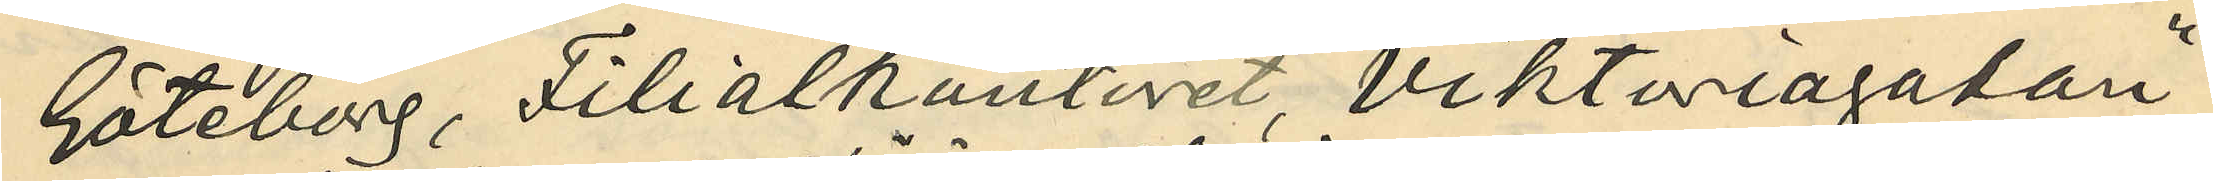Göteborg, Filialkontoret, Viktoriagatan";
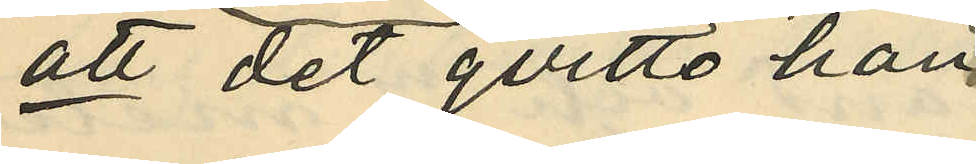att det qvitto han
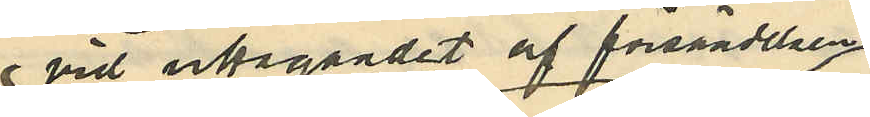 vid utagandet af försändelsen
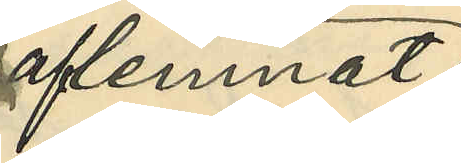aflemnat
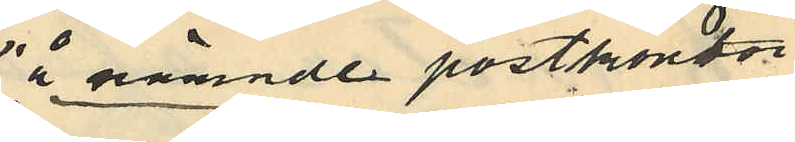å nämnde postkontor
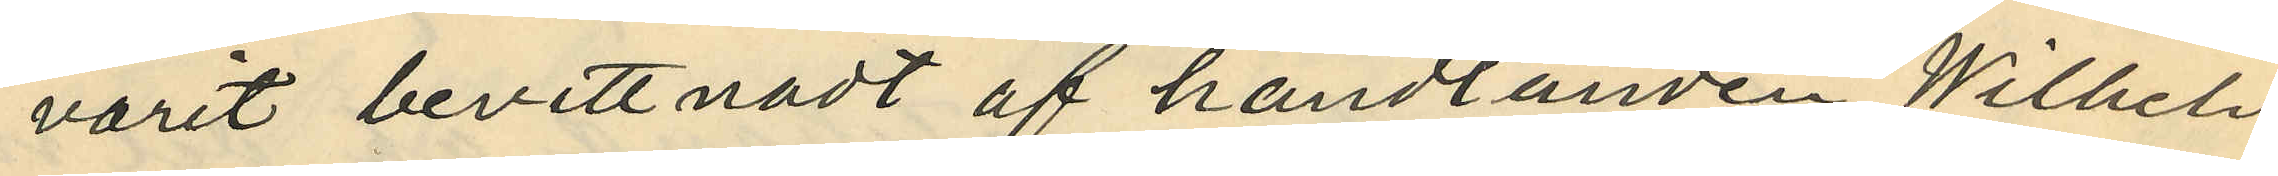varit bevittnadt af handlanden Wilhelm
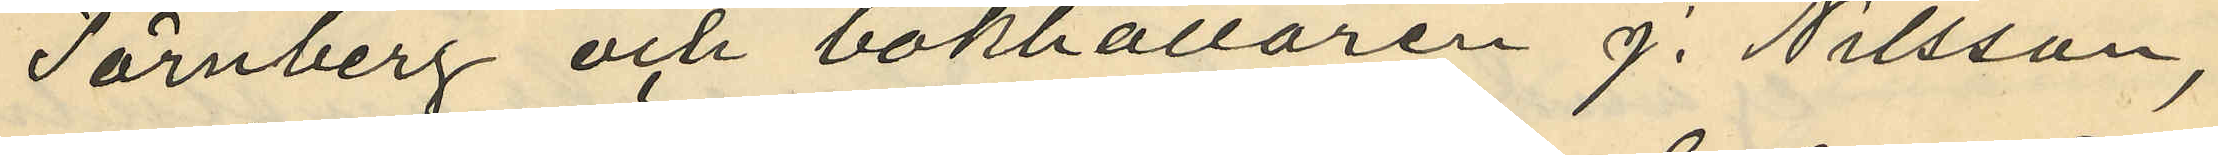Törnberg och bokhållaren J. Nilsson,
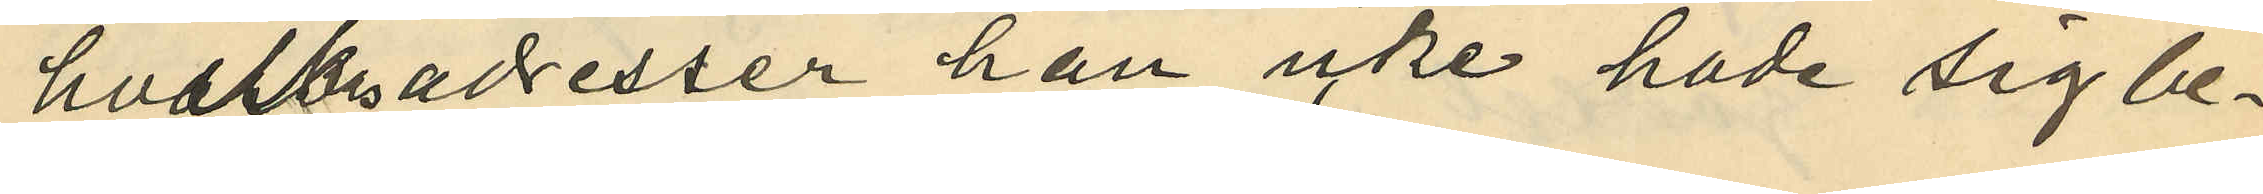hvilkas adresser han icke hade sig be¬
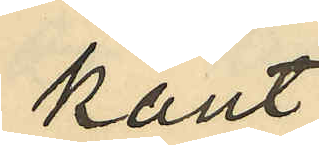kant;
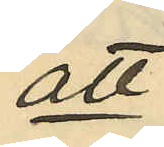att
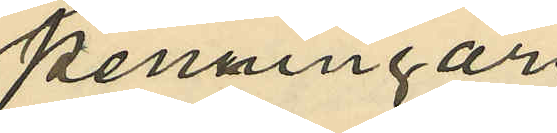penningar
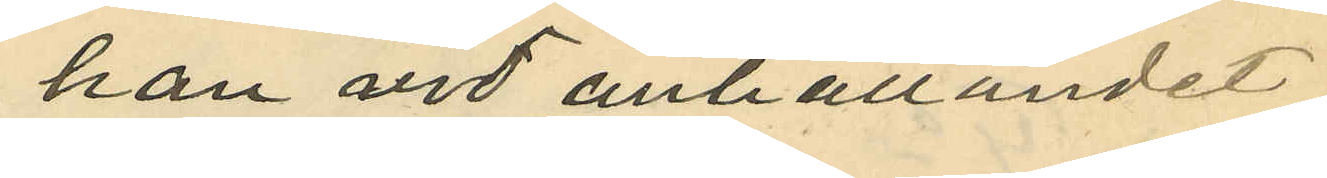han vid anhållandet
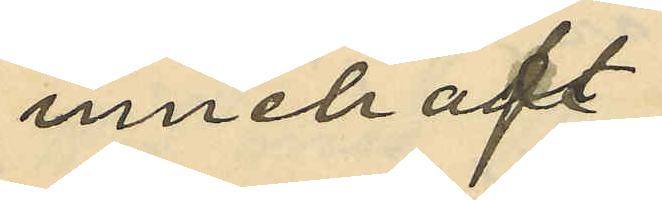innehaft
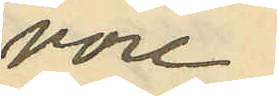vore
